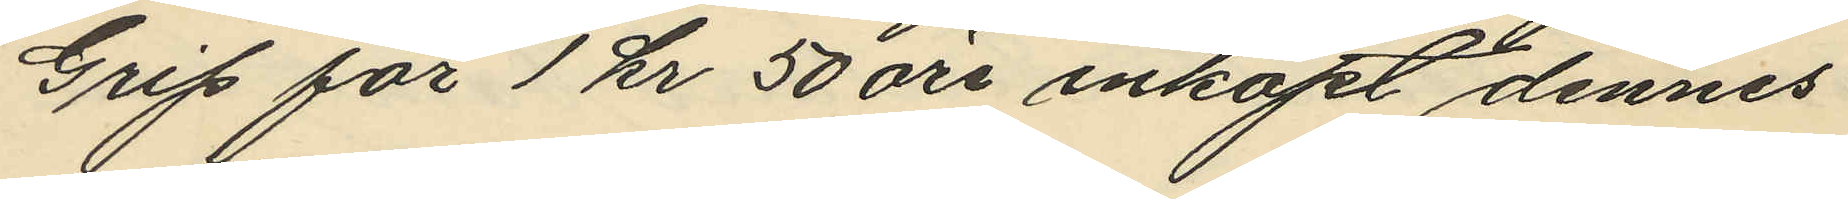Grip för 1 kr 50 öre inköpt dennes
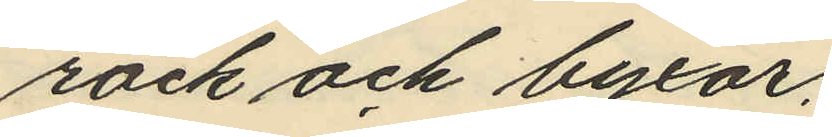rock och byxor;
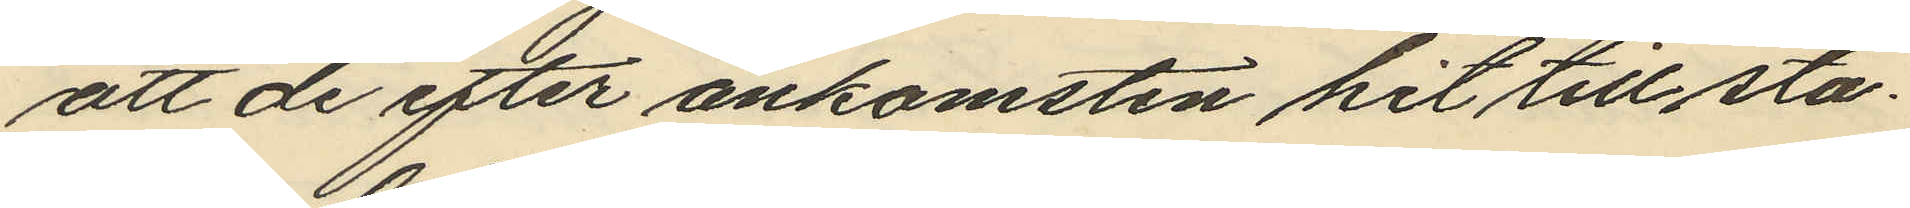att de efter ankomsten hit till sta¬
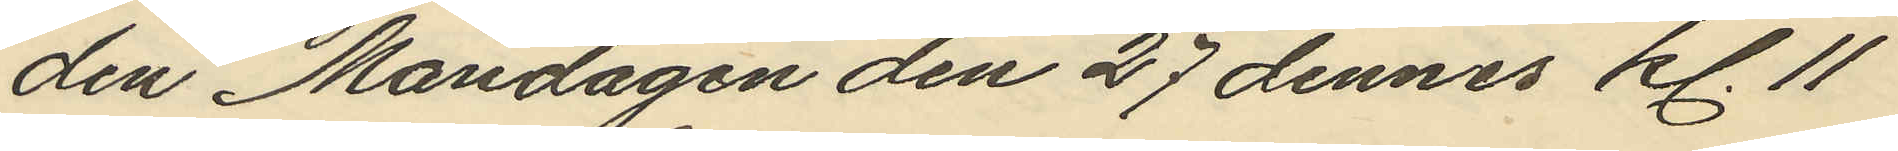den Måndagen den 27 dennes kl. 11
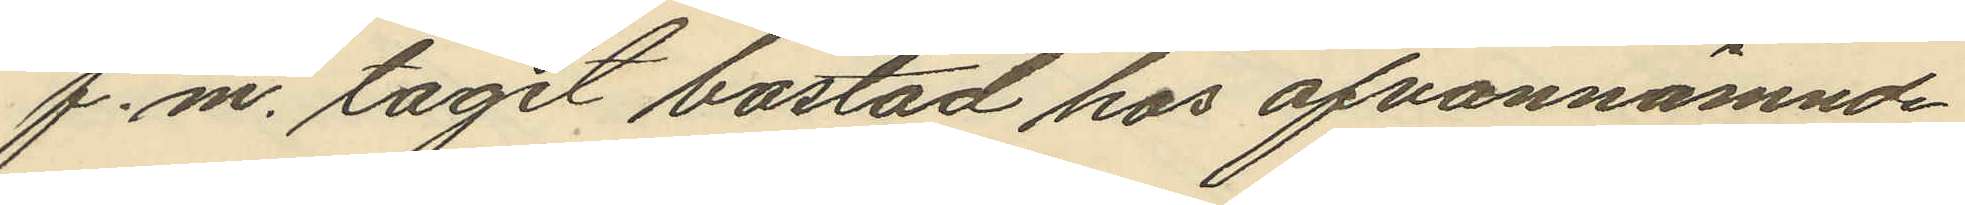f.m. tagit bostad hos ofvannämnde
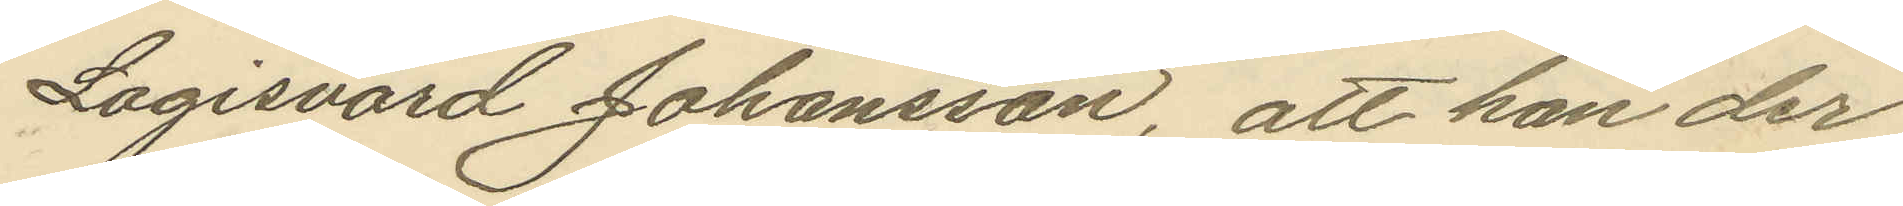Logisvärd Johansson, att han der
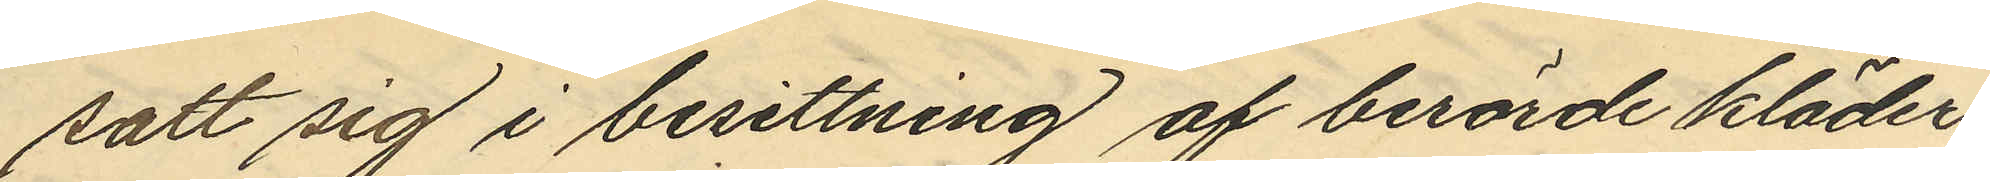satt sig i besittning af berörde kläder
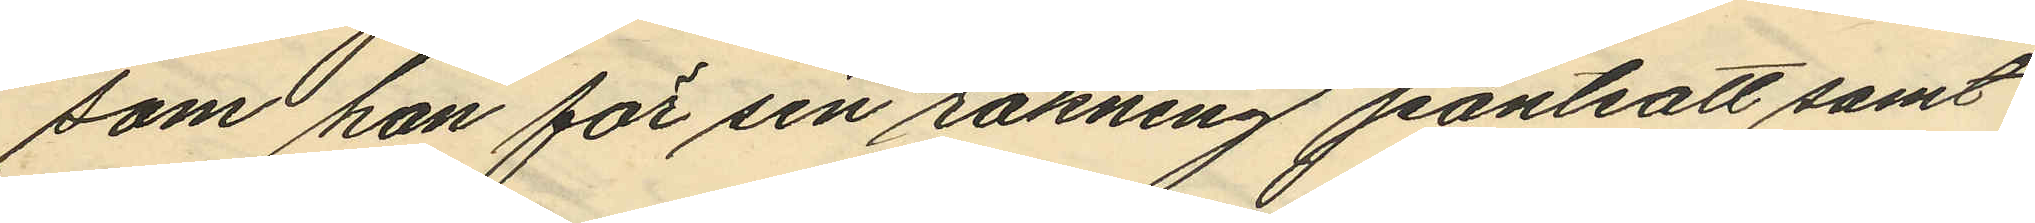som han för sin räkning pantsatt samt
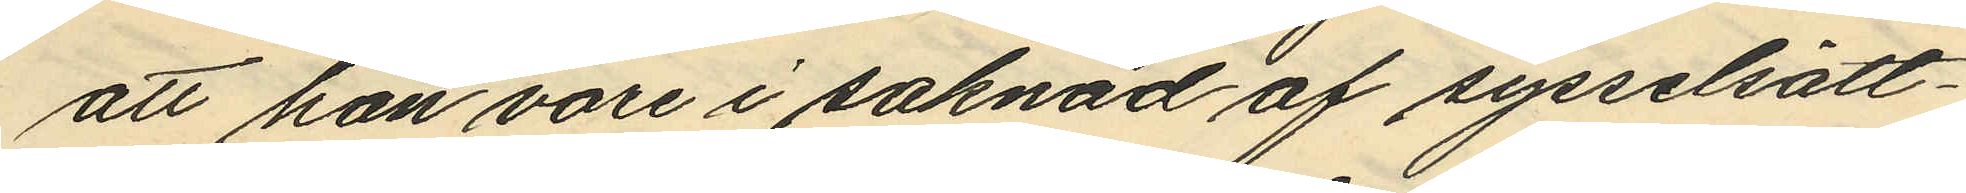att han vore i saknad af sysselsätt¬
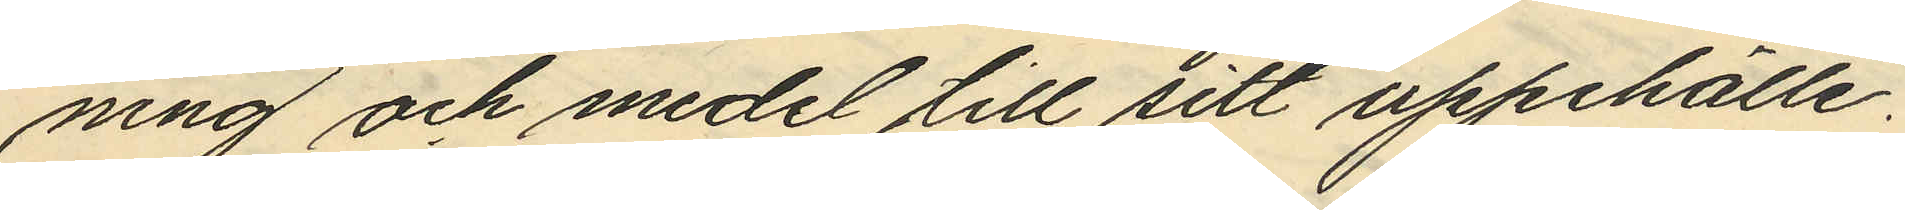ning och medel till sitt uppehälle.
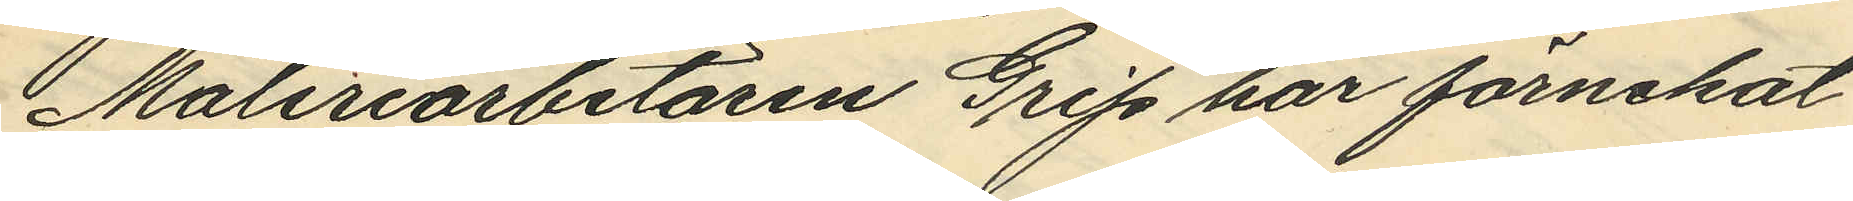Måleriarbetaren Grip har förnekat
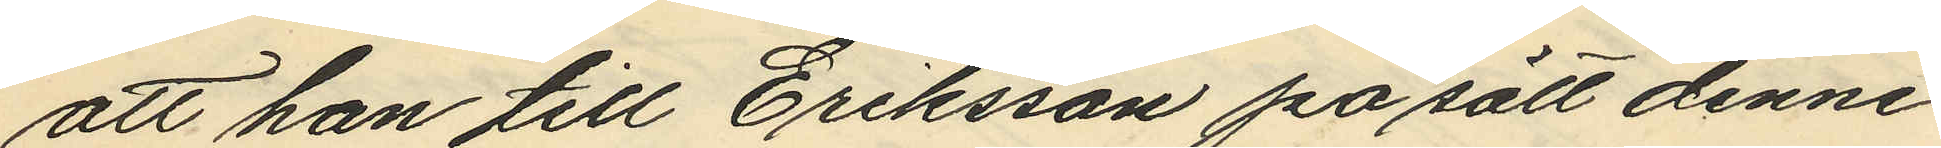att han till Eriksson på sätt denne
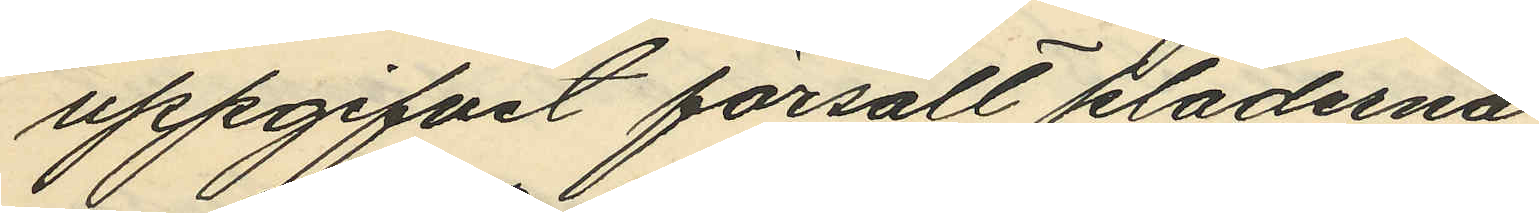uppgifvit försålt kläderna.
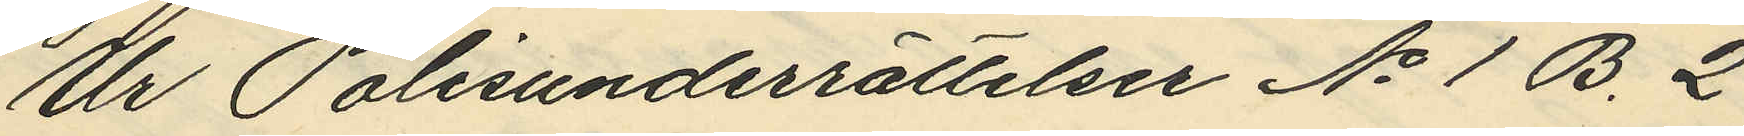Ur Polisunderrättelser No 1 B. 2
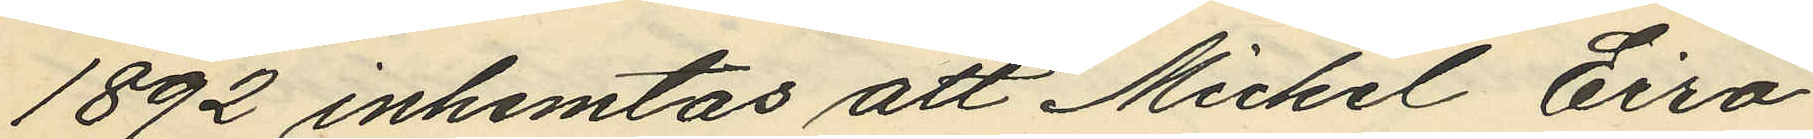1892 inhemtas att Mickel Eiro
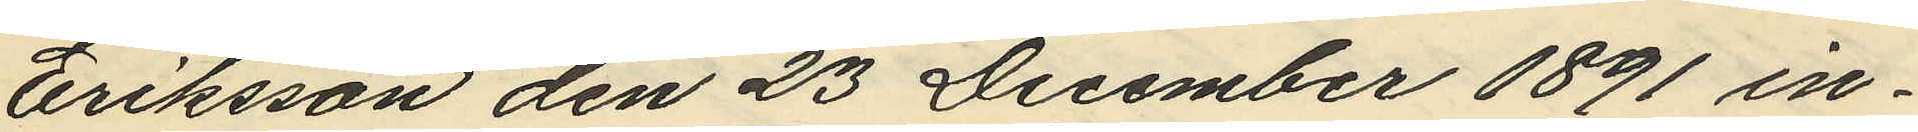Eriksson den 23 December 1891 in¬
